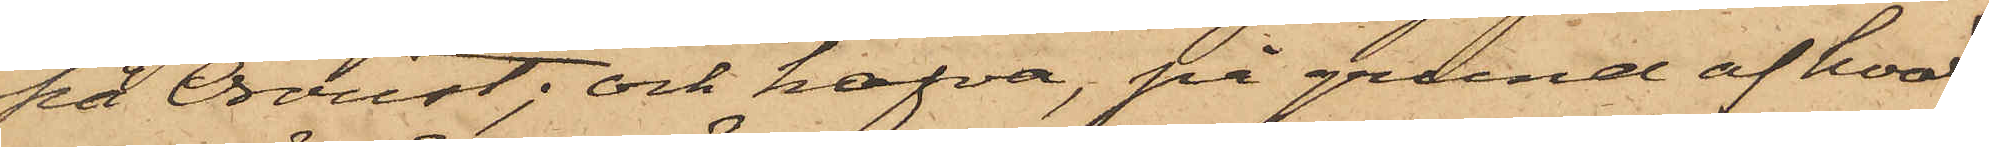på Oroust; och hafva, på grund af hvad
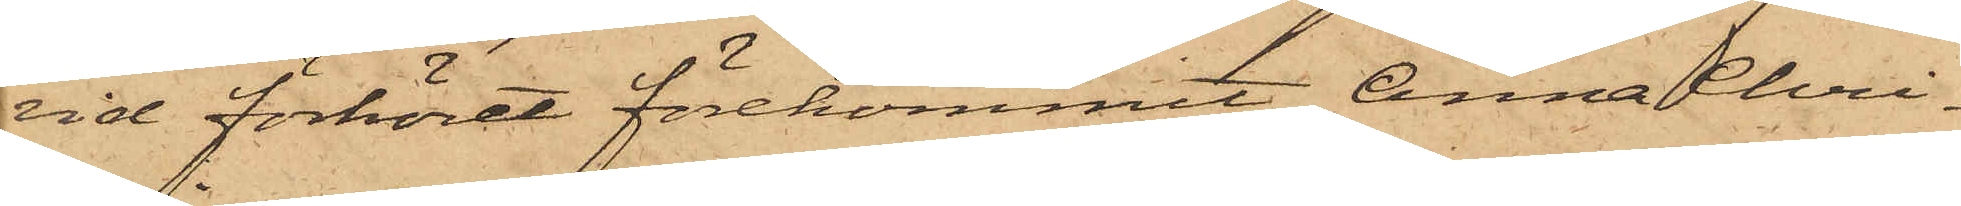vid förhöret förekommit, Anna Chri¬
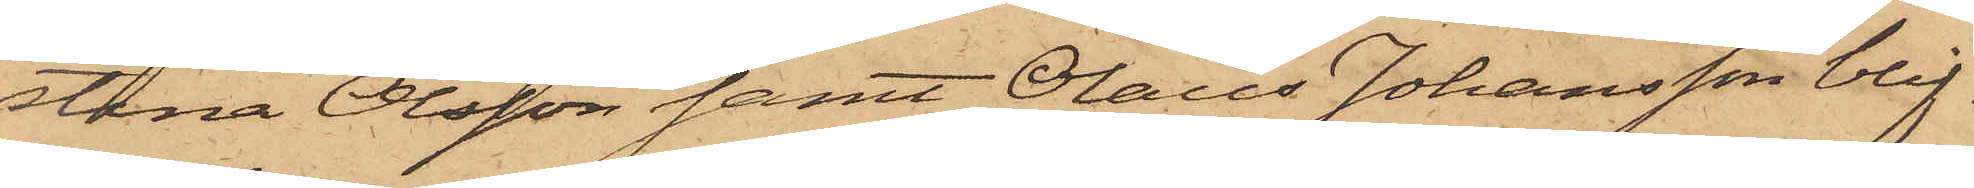stina Olsson samt Olaus Johansson blif¬
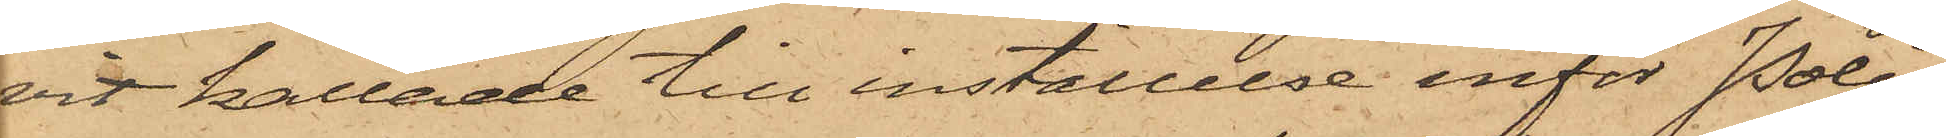vit kallade till inställelse inför Polis¬
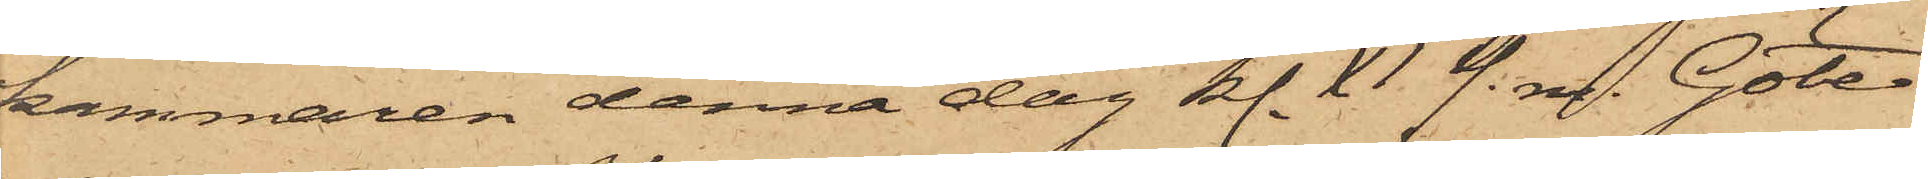kammaren denna dag kl. XI f. m. Göte¬
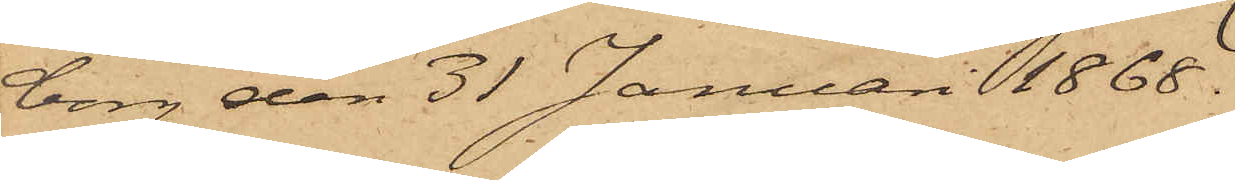borg den 31 Januari 1868.
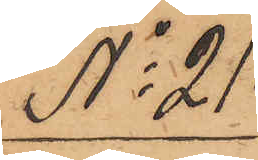No 21.
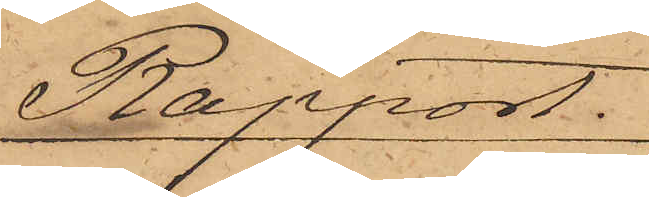Rapport.
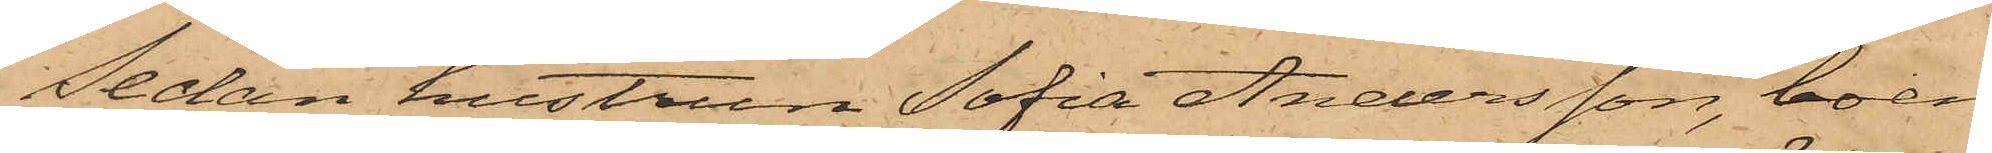Sedan hustrun Sofia Andersson, boen¬
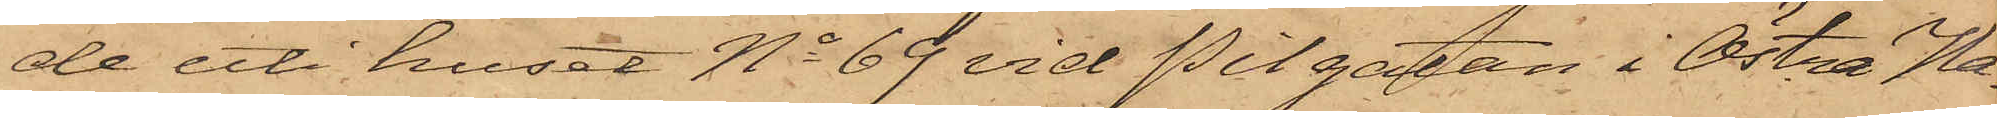de uti huset No 69 vid Pilgatan i Östra Ha¬
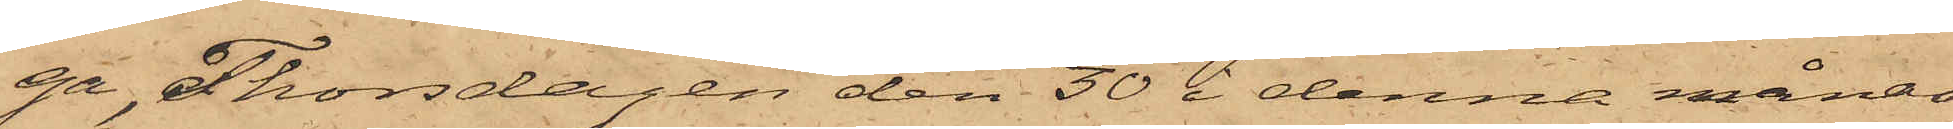ga, Thorsdagen den 30 i denna månad
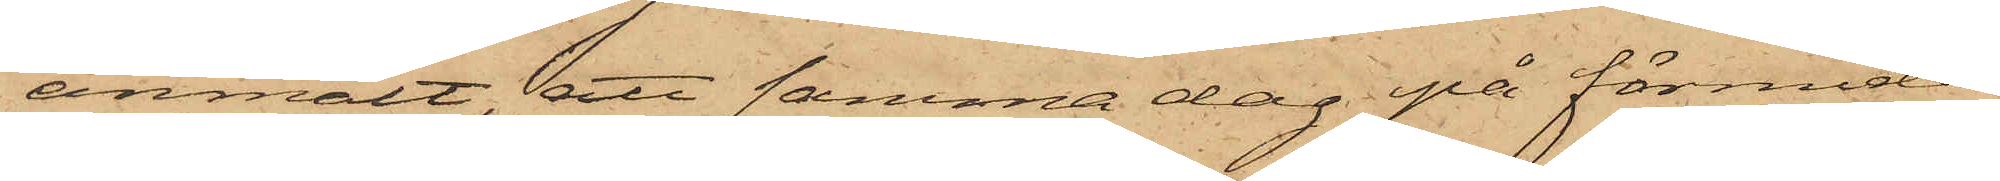anmält, att samma dag på förmidda¬
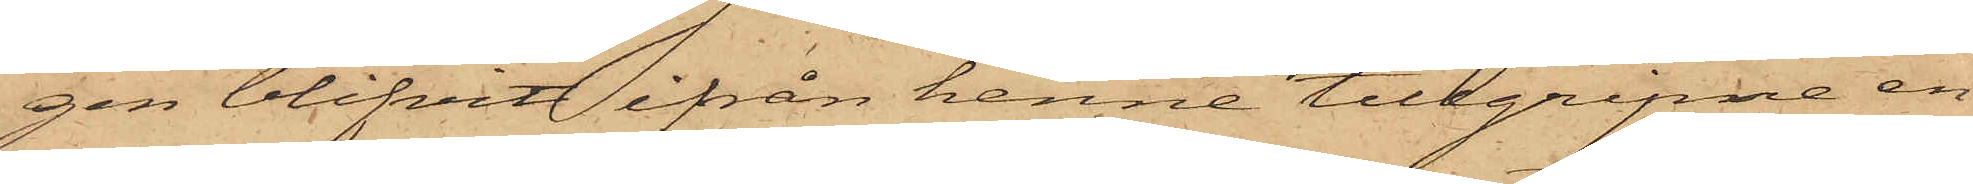gen blifvit ifrån henne tillgripne en
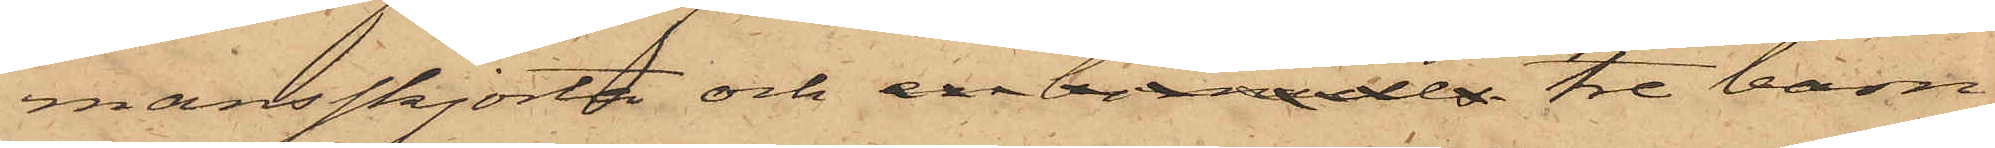mansskjorta och en bomulls tre barn¬
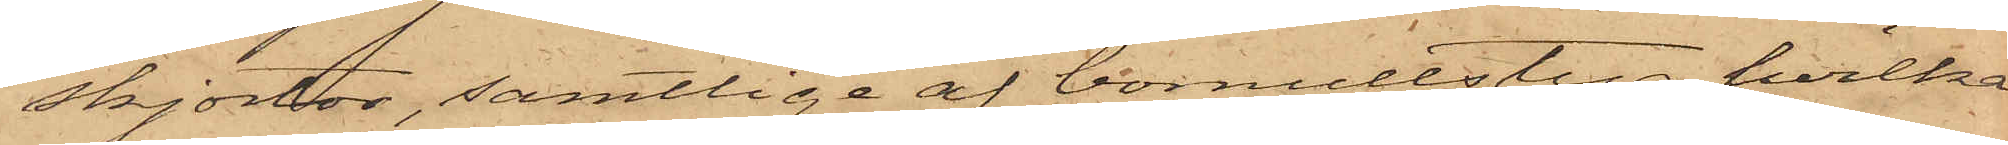skjortor, samtlige af bomullstyg, hvilka
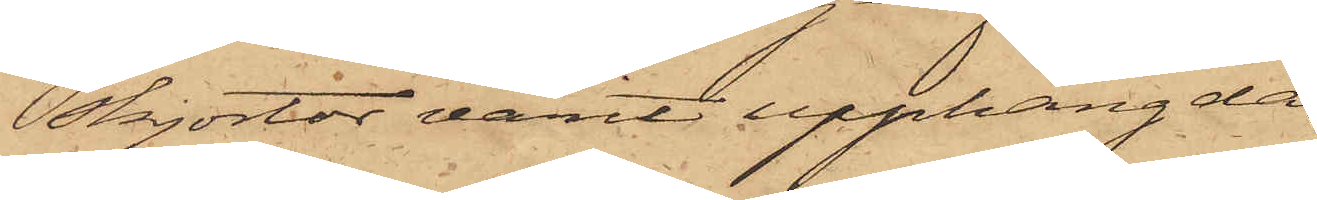skjortor varit upphängda
